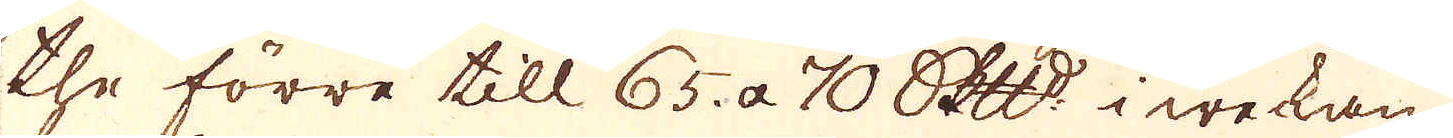the förre till 65 a 70 Skeppund i weckan,
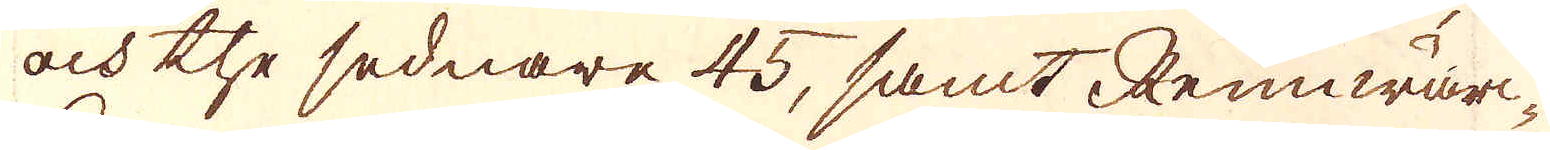och the sednare 45, samt Rennwär-
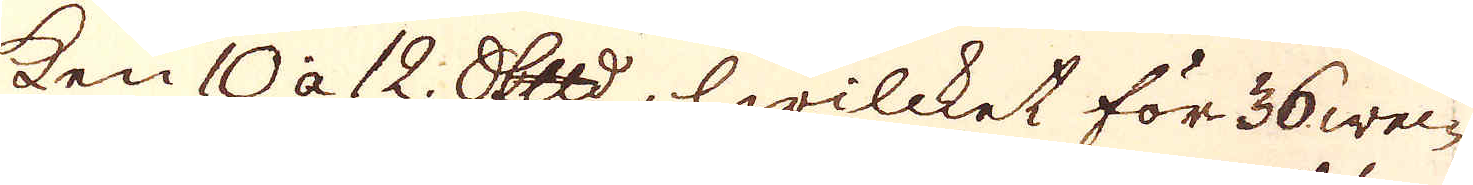ken 10 a 12. Skeppund, hwilcket för 36 wec-
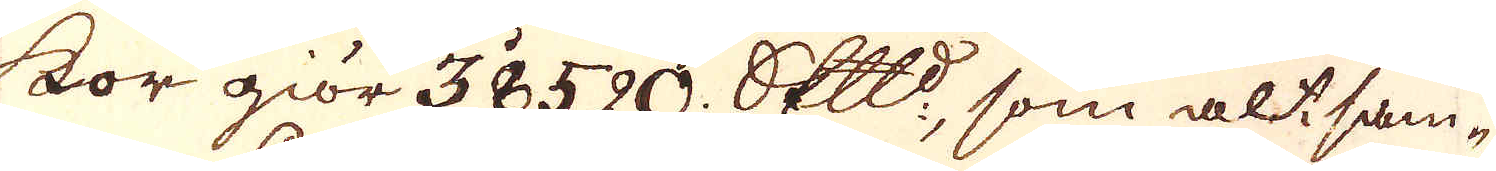kor giör 38520 Skeppund, som altsam-
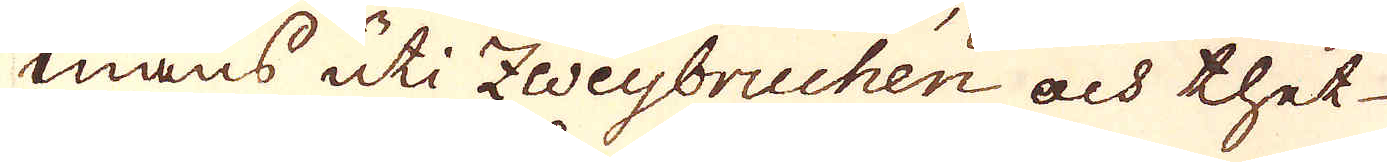mans uti Zweybruchen och thet
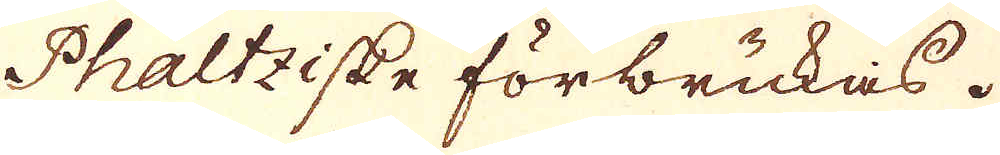Phaltziske förbrukas.
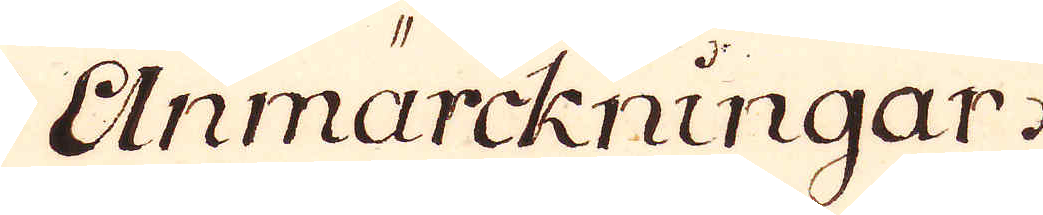Anmärckningar.
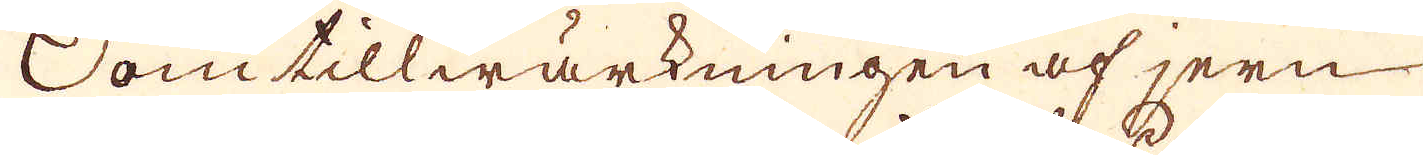Som tillwärkningen af jern
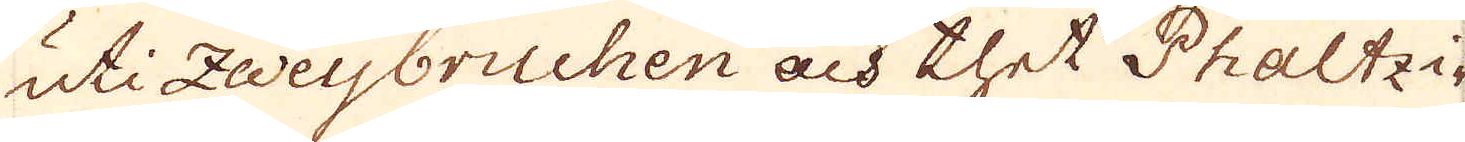uti Zweybruchen och thet Phaltzi-
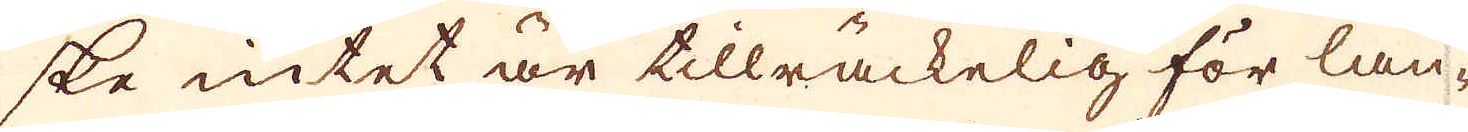ske intet är tillräckelig för lan-
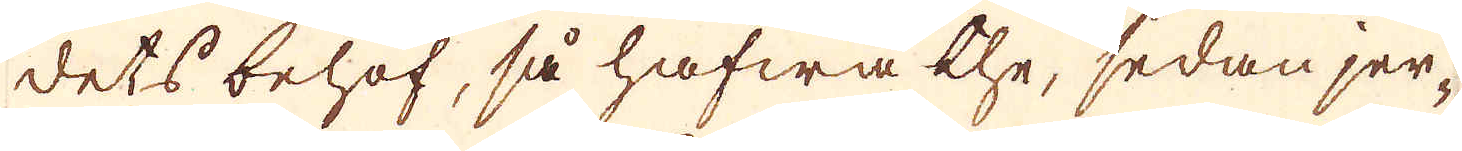dets behof, så hafwa the, sedan jer-
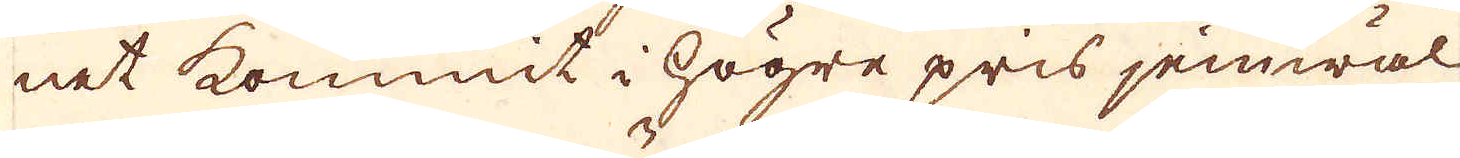net kommit i högre pris jemwäl
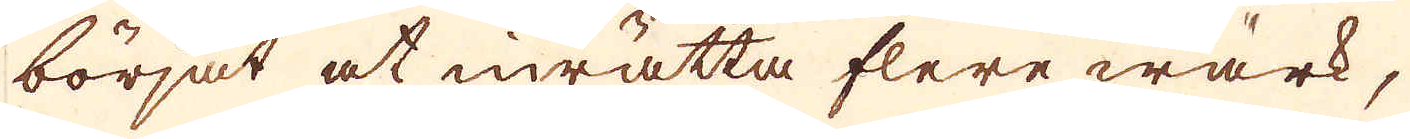börjat at inrätta flere wärk,
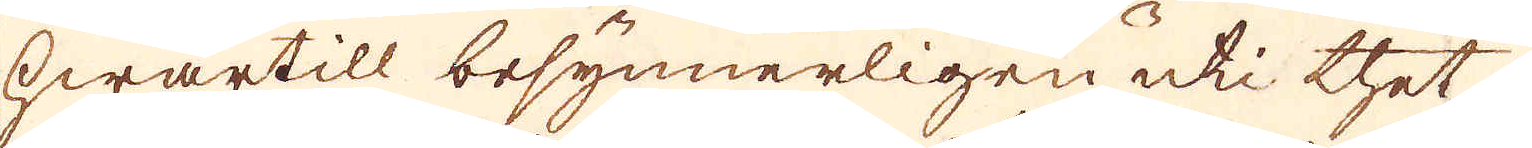hwartill besynnerligen uti thet
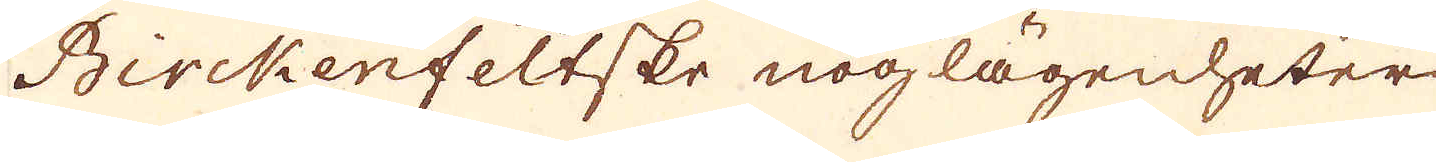Birckenfeltske noglägenheter
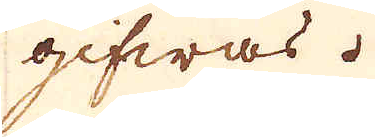gifwas.
